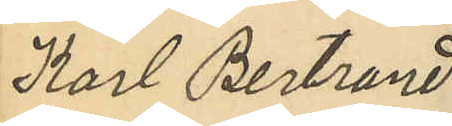Karl Bertrand
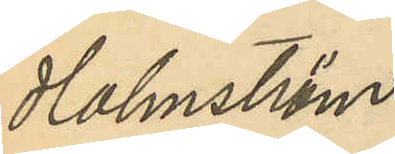Holmström
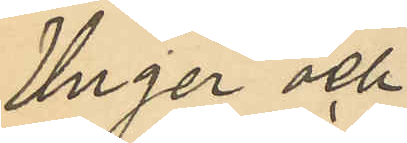Unger och
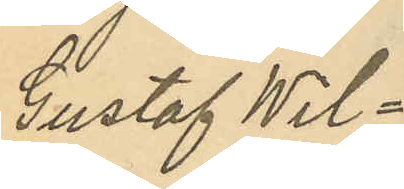Gustaf Wil¬
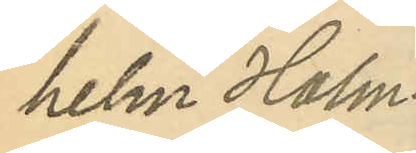helm Holm¬
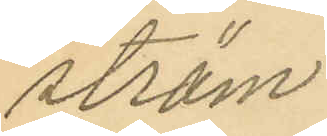ström
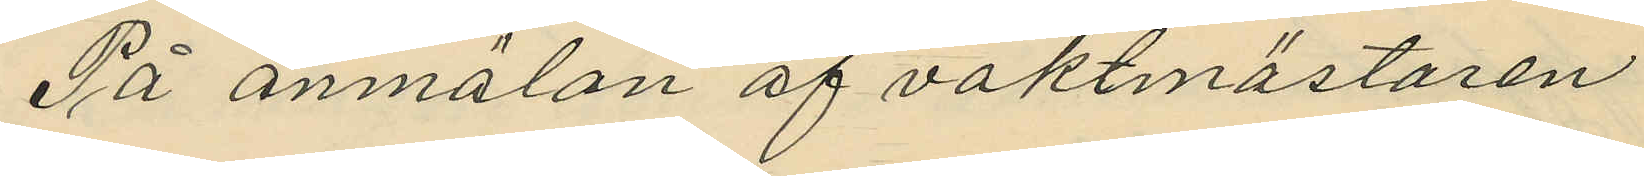På anmälan af vaktmästaren
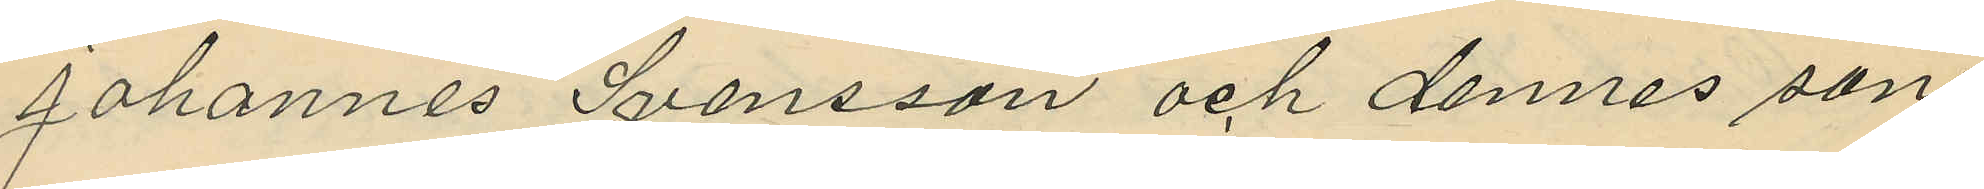Johannes Svensson och dennes son
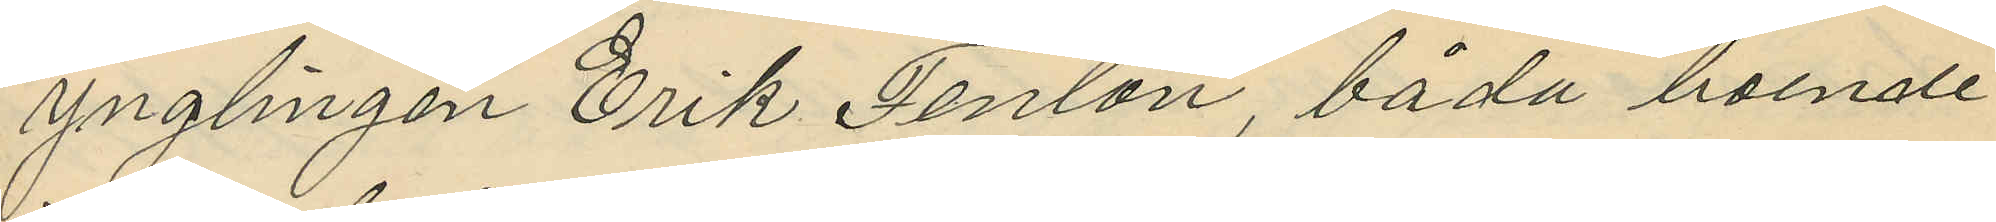ynglingen Erik Fenton, båda boende
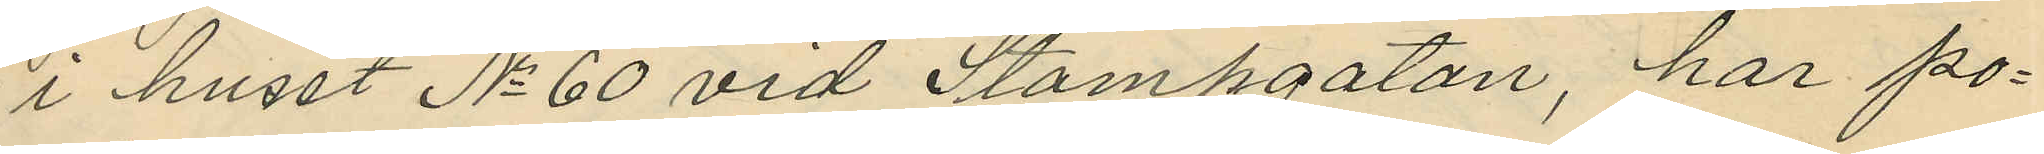i huset No 60 vid Stampgatan, har po¬
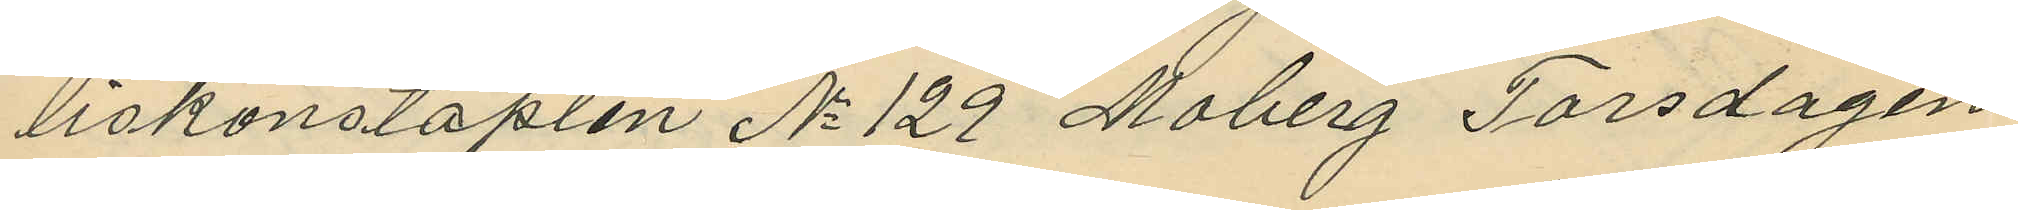liskonstaplen No 129 Moberg Torsdagen
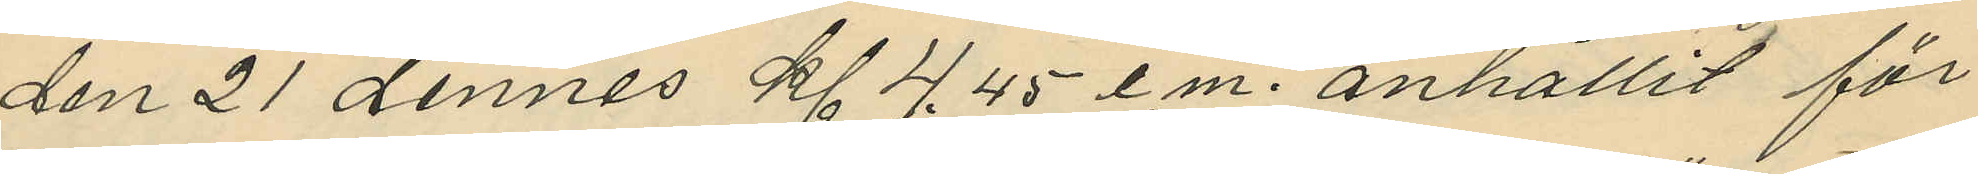den 21 dennes kl 4.45 e.m. anhållit för
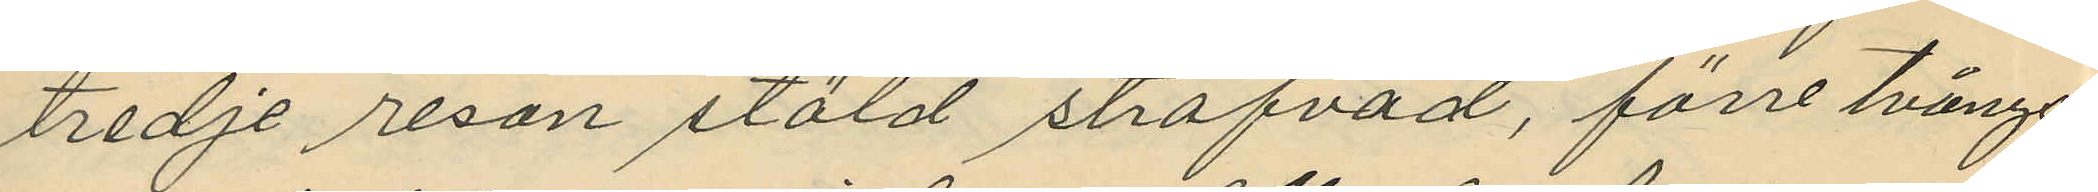tredje resan stöld strafvad, förre tvångs¬
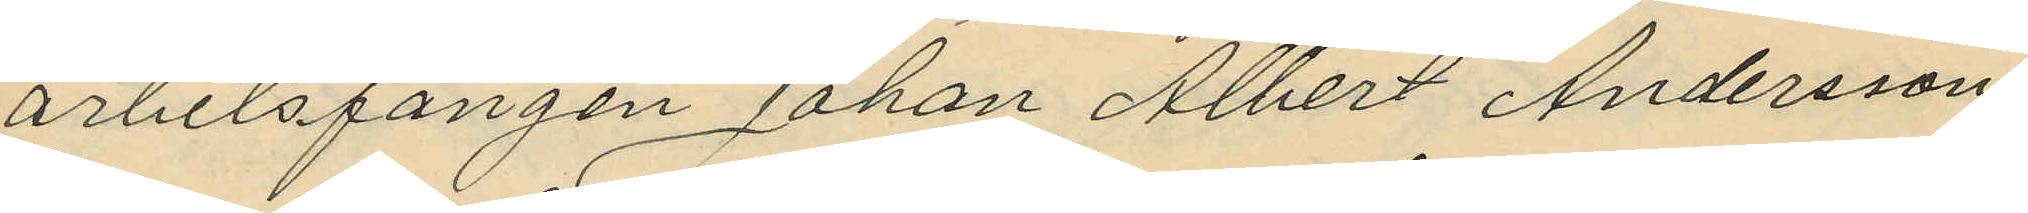arbetsfången Johan Albert Andersson
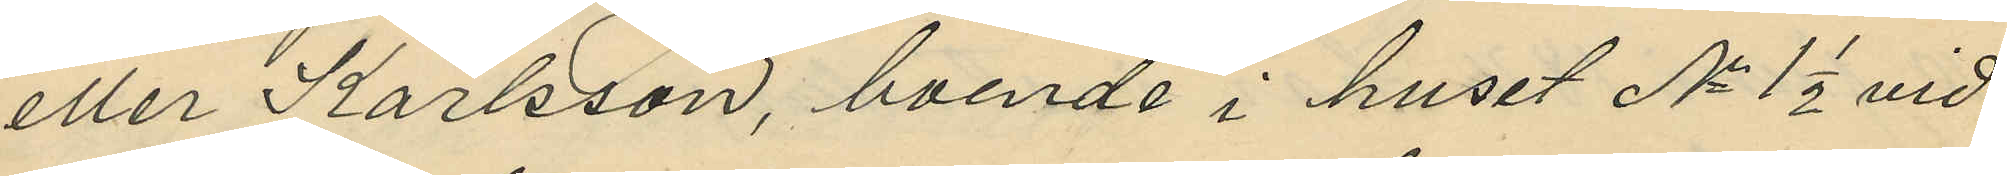eller Karlsson, boende i huset No 1 1/2 vid
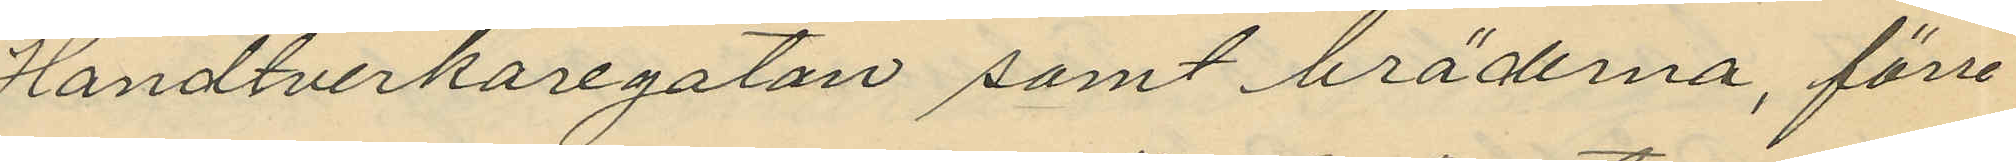Handtverkaregatan samt bräderna, förre
